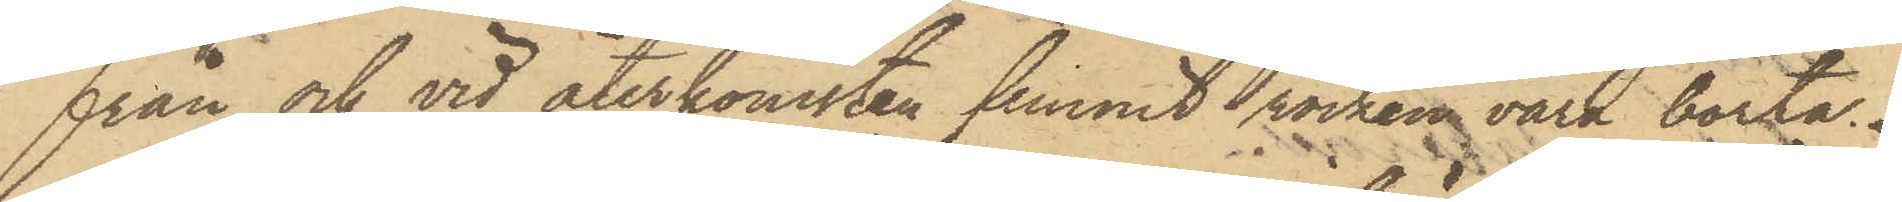från och vid återkomsten funnit rocken vara borta.
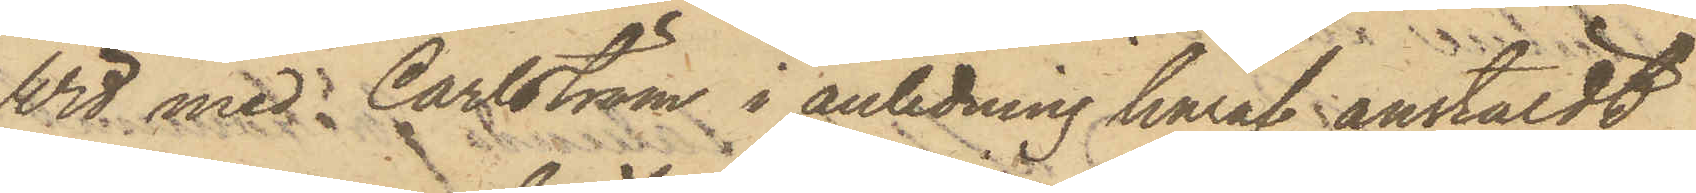Wid med Carlström i anledning häraf anstäldt
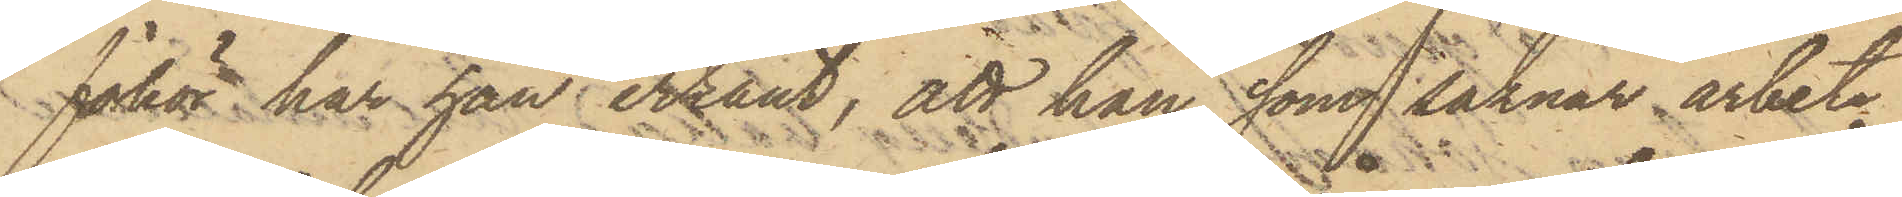förhör, har han erkänt, att han, som saknar arbete
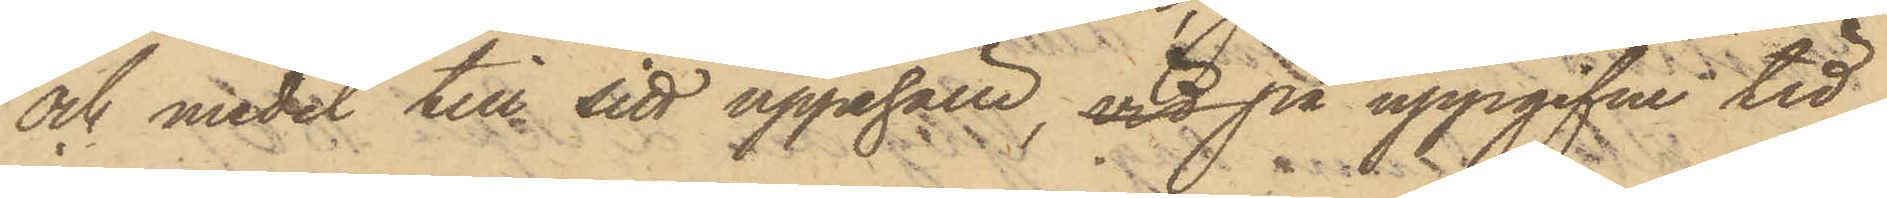och medel till sitt uppehälle, vid på uppgifvne tid
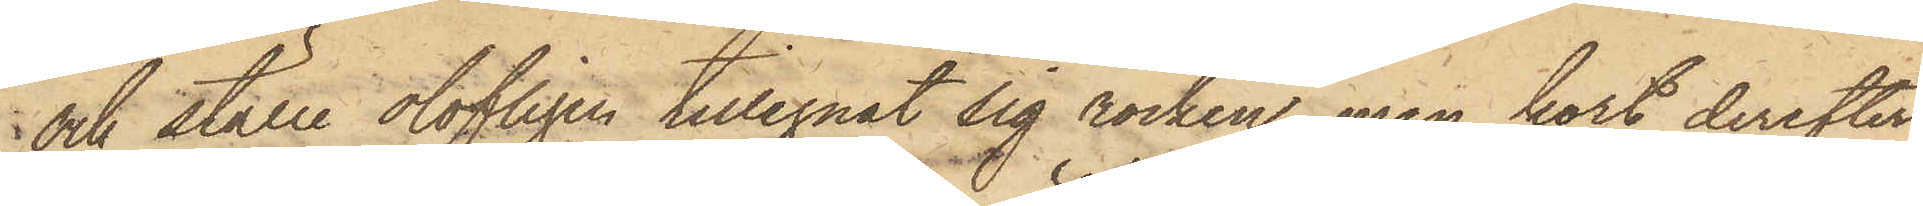och ställe olofligen tillegnat sig rocken, men kort derefter
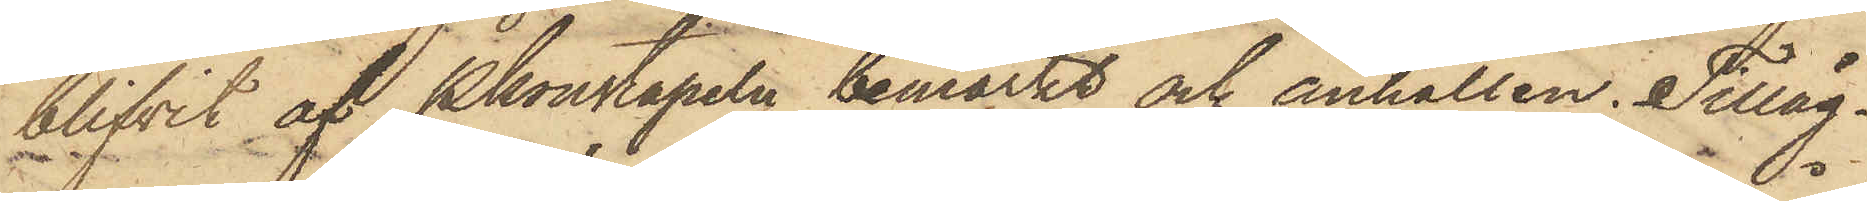blifvit af Pkonstapeln bemärkt och anhållen. Tilläg¬
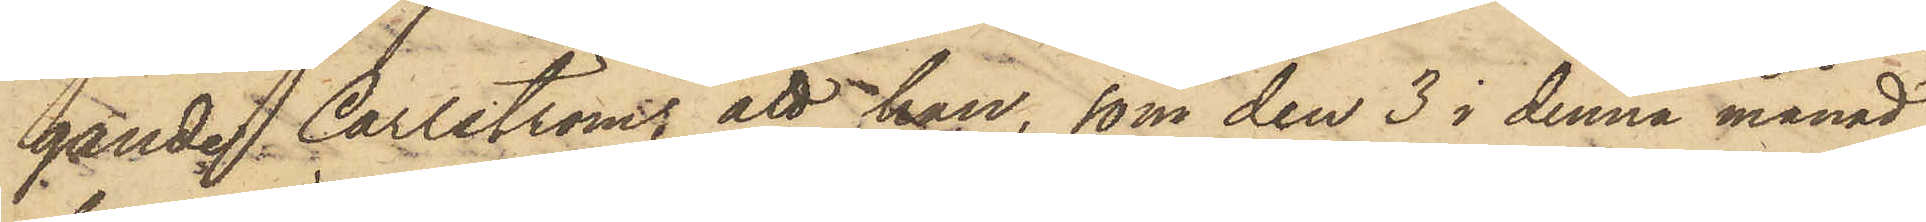gande Carlström, att han, som den 3 i denna månad
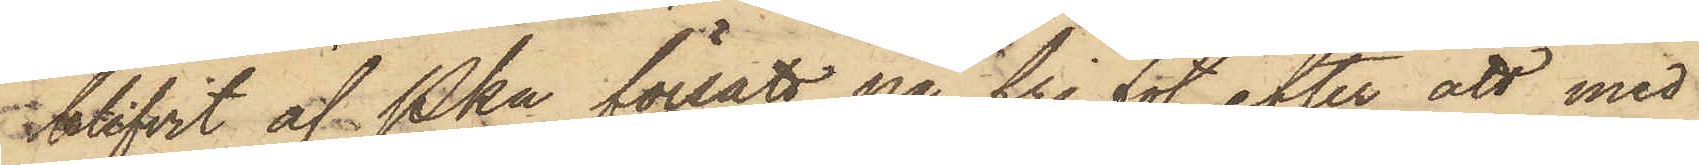blifvit af Pkn försatt på fri fot efter att med
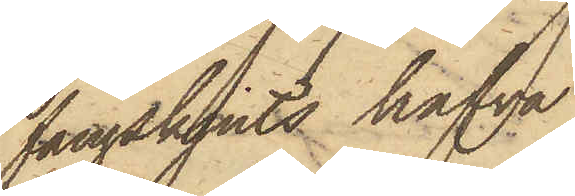fångskjuts hafva
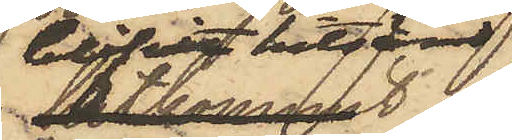blifvit hitsänd
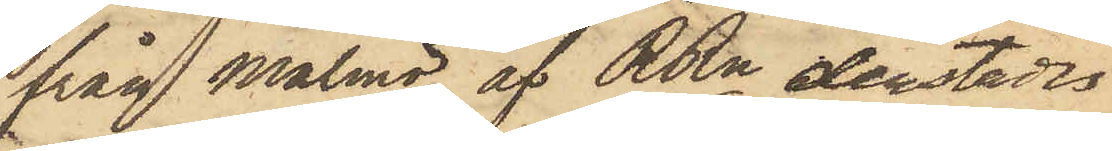från Malmö, af RRn derstädes
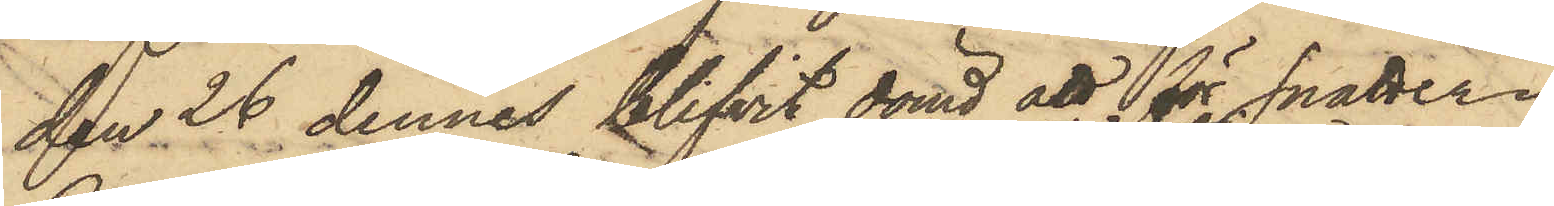den 26 dennes blifvit dömd att för snatteri
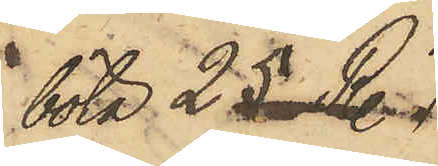böta 25 R.
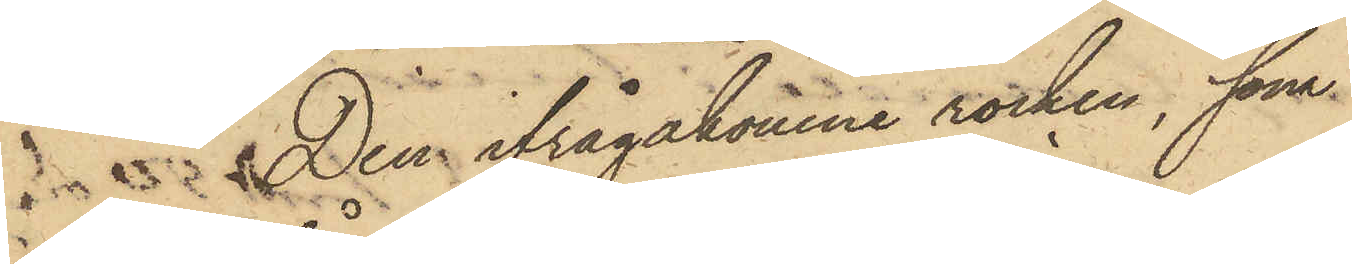Den ifrågakomne rocken, som
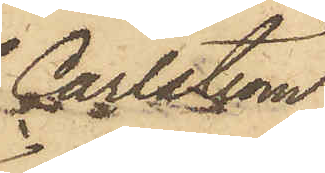Carlström
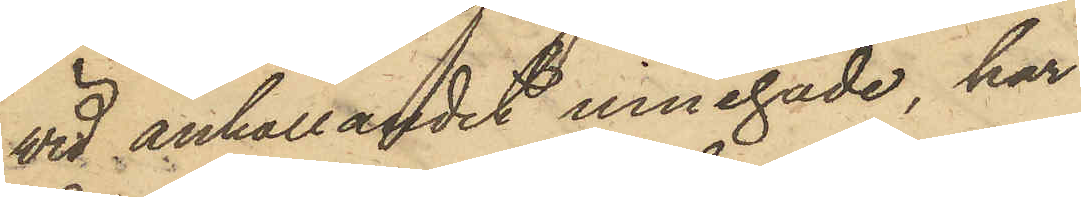vid anhållandet innehade, har
